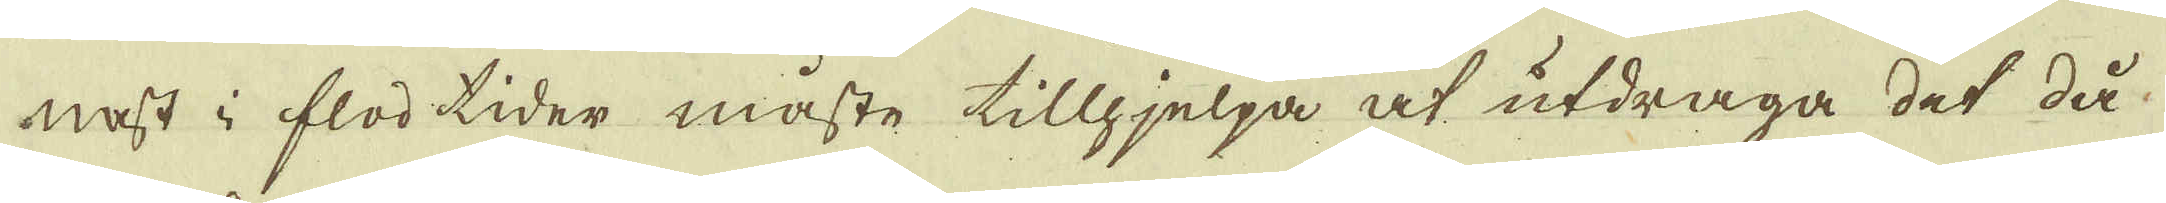nast i flod tider måste tillhjelpa at utdraga det då
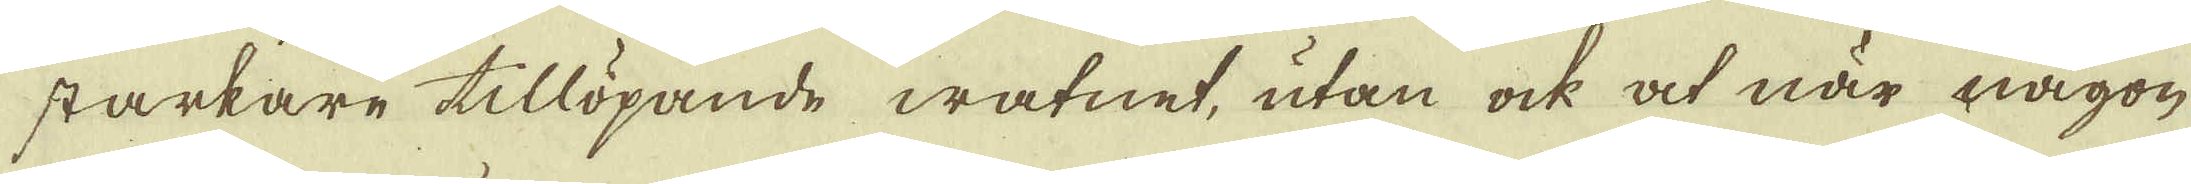starkare tillöpande watnet, utan ock at när någon
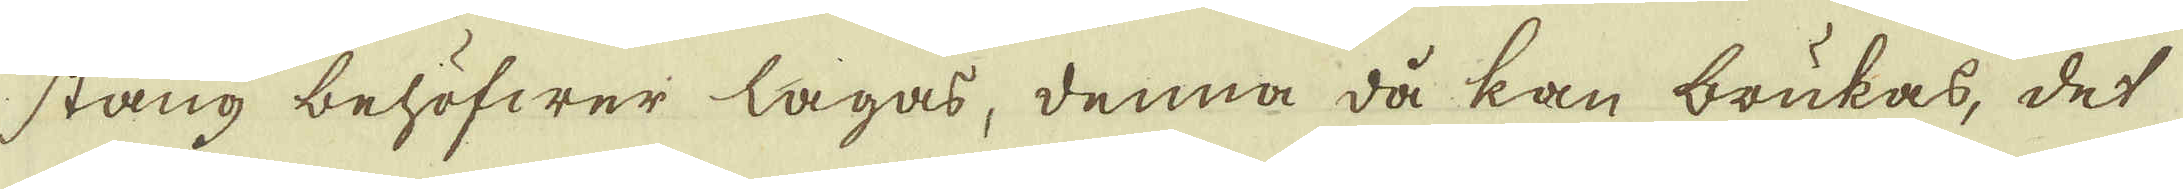stång behöfwer lagas, denna då kan brukas, det
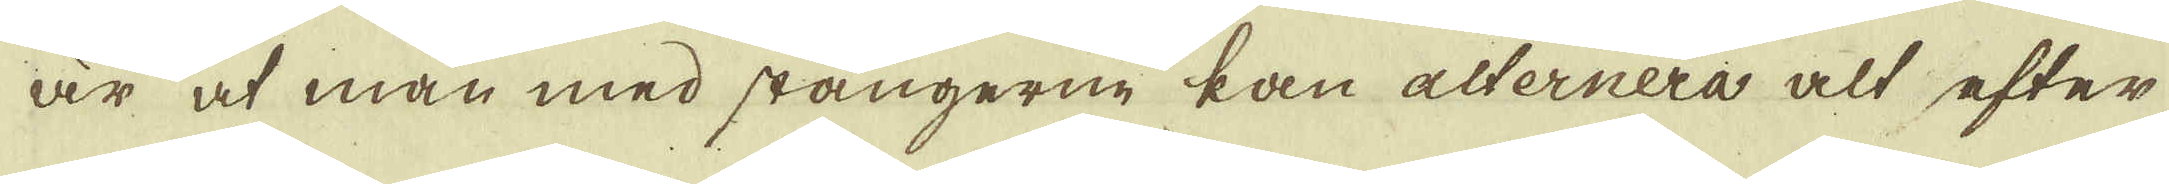är at man med stängerne kan alternera alt efter
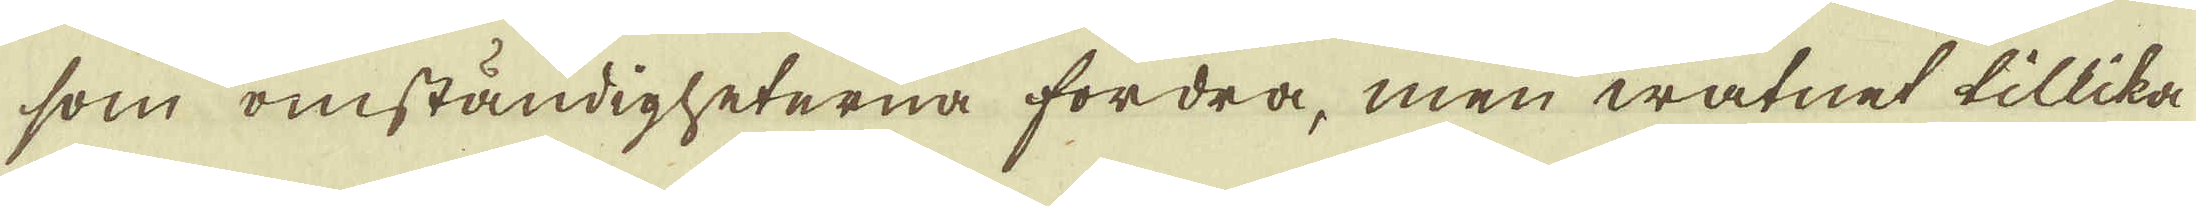som omständigheterna fordra, men watnet tillika
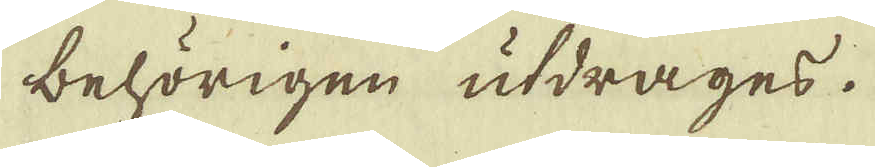behörigen utdrages.
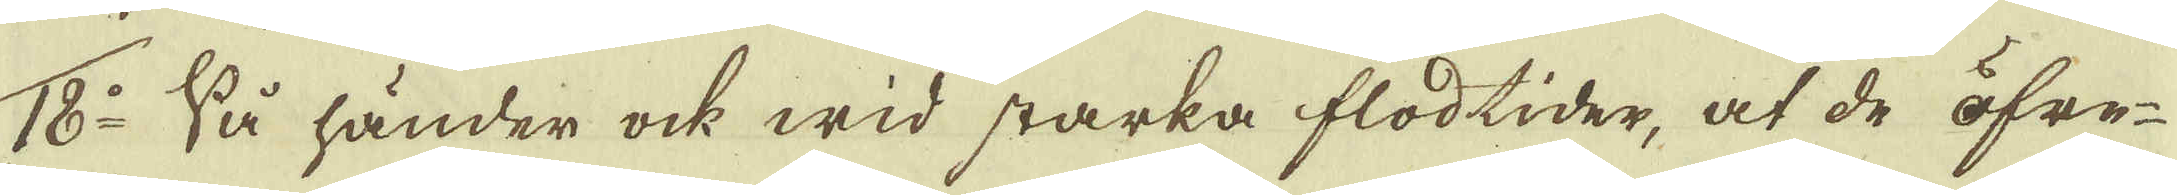18:o Så händer ock wid starka flodtider, at de öfre-
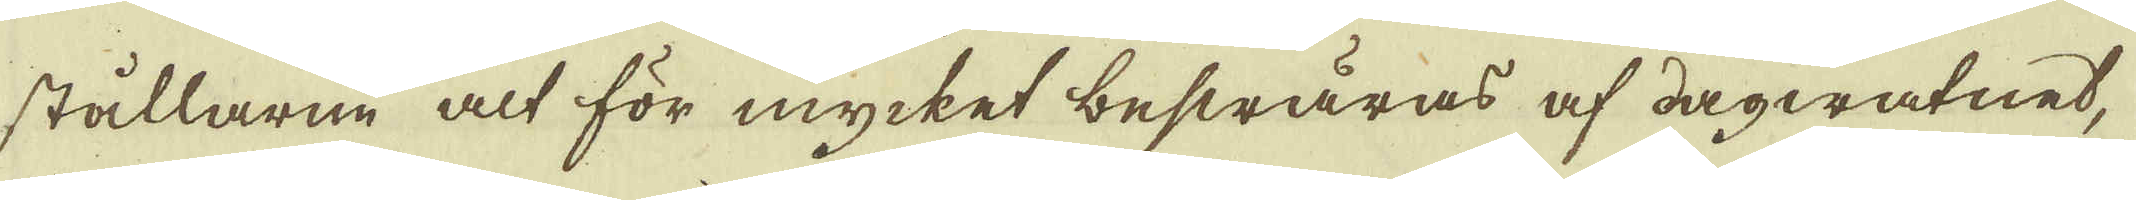stållarne alt för mycket beswäras af dagwatnet,
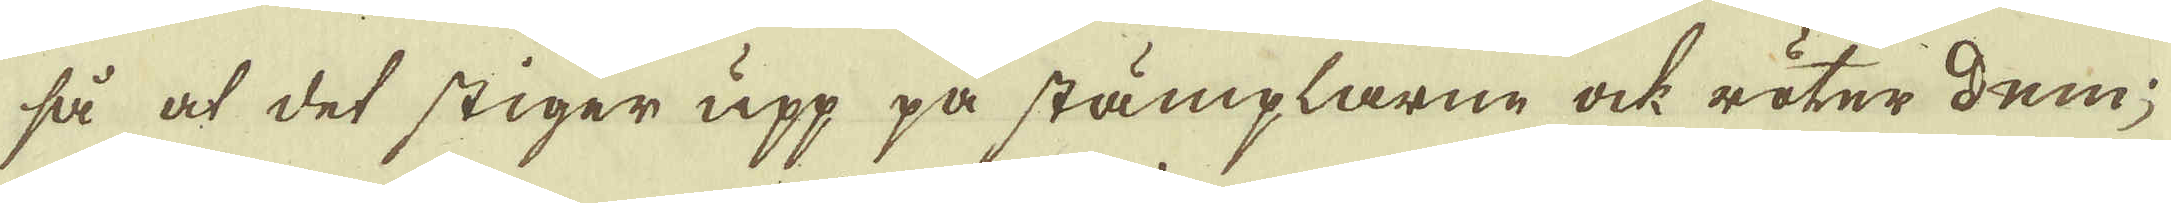så at det stiger upp på stämplarne ock röter dem;
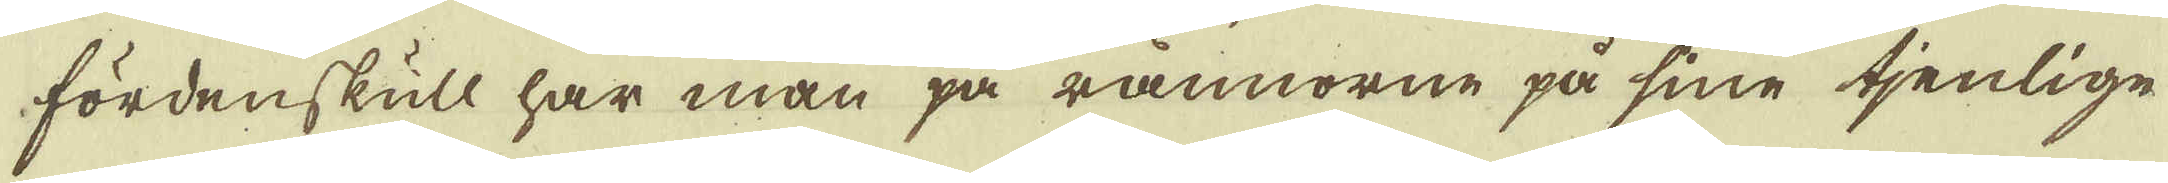fördenskull har man på rännorne på sine tjenlige
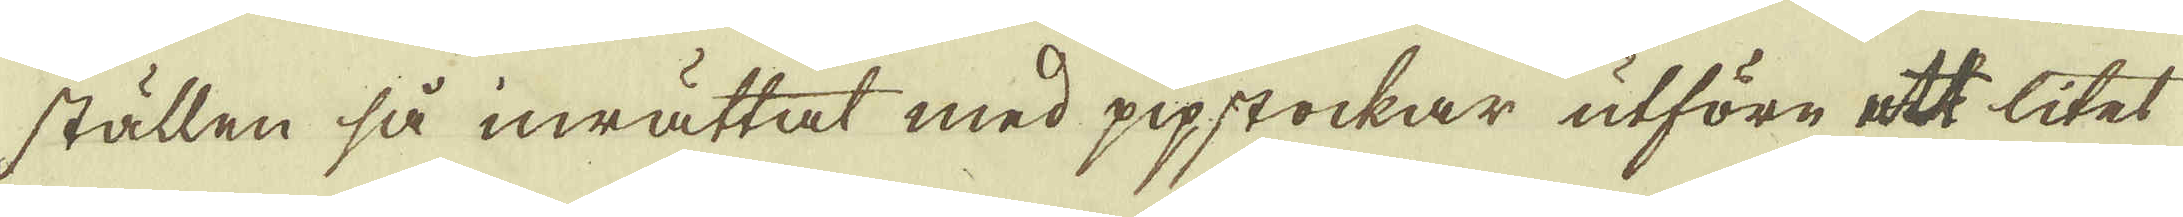ställen så inrättat med pipstockar utföre ett litet
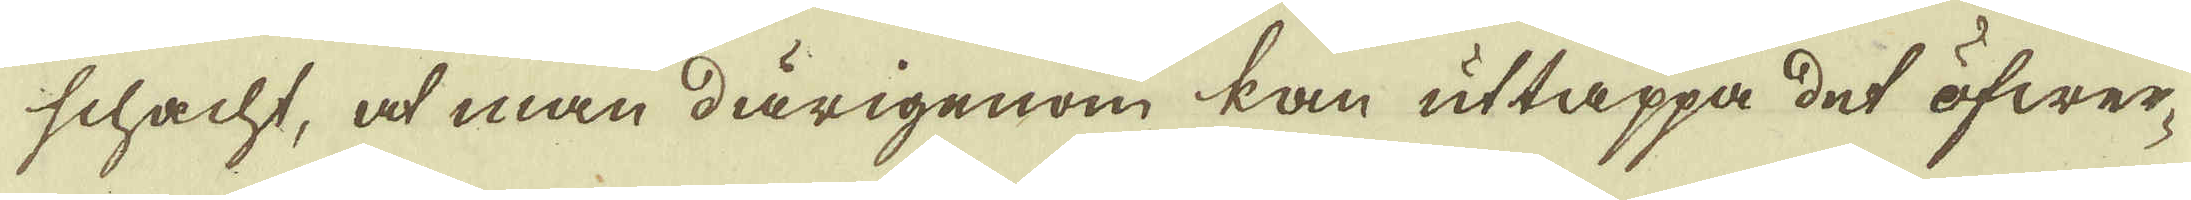schacht, at man därigenom kan uttappa det öfwer-
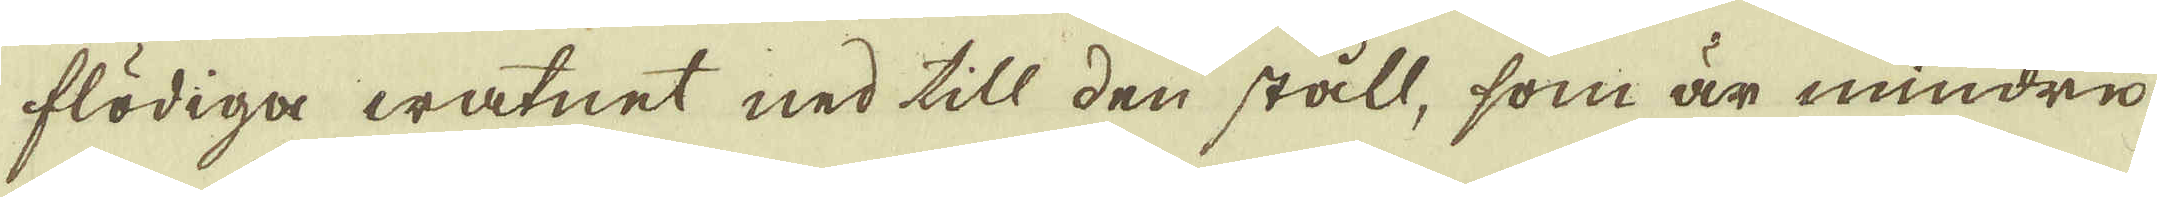flödiga watnet ned till den ståll, som är mindre
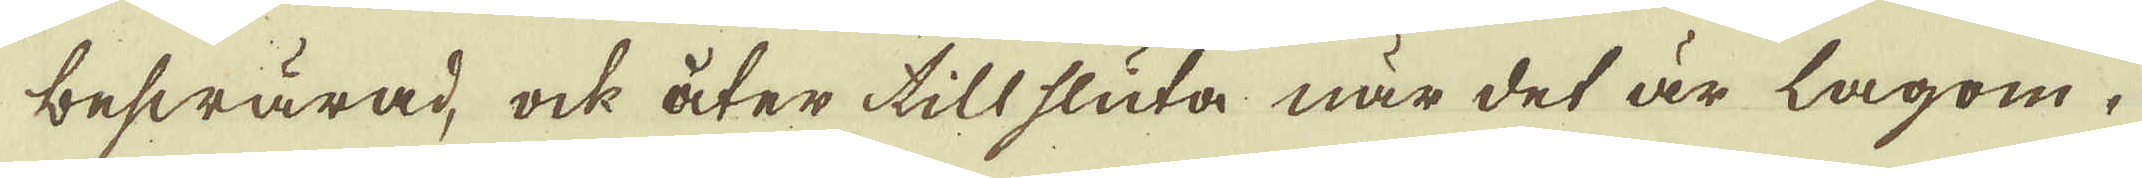beswärad, ock åter till sluta när det är lagom.
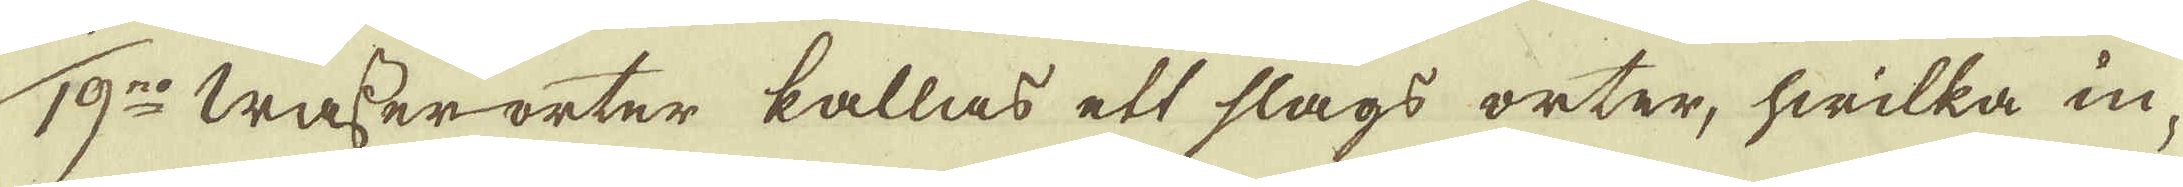19:no Wasser-orter kallas ett slags orter, hwilka in-
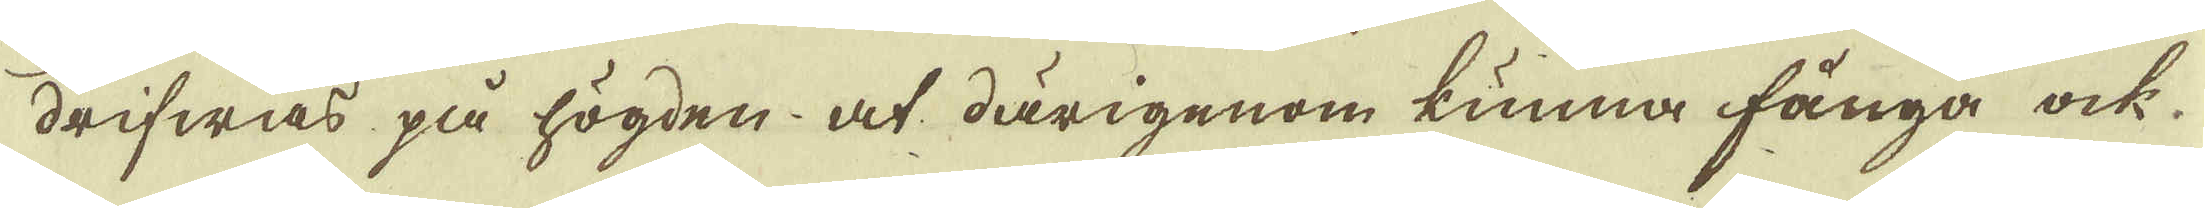drifwas på högden at därigenom kunna fånga ock
